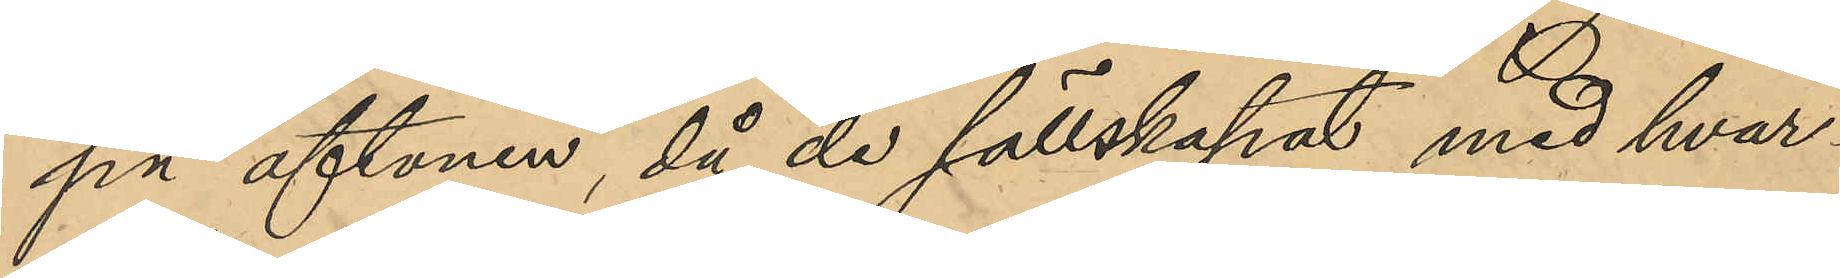på aftonen, då de sällskapat med hvar¬
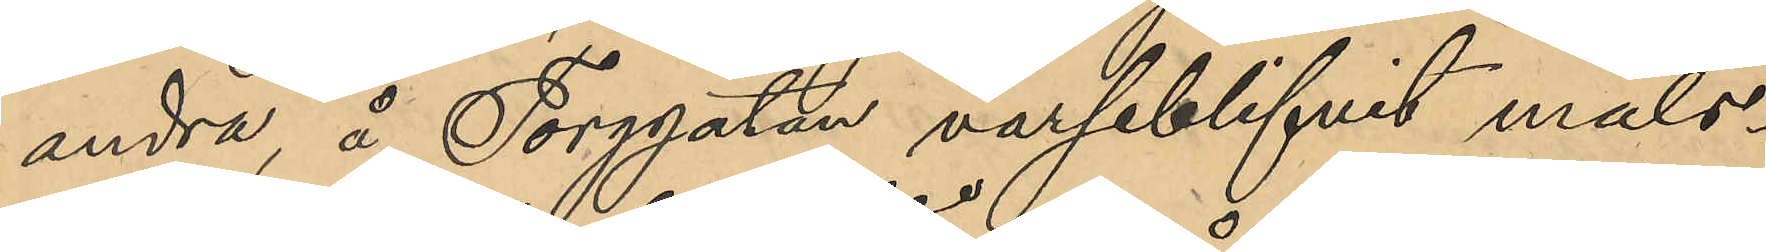andra, å Torggatan varseblifvit måls¬
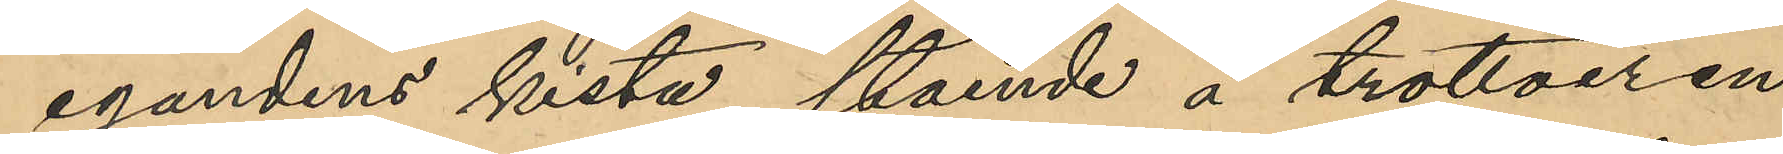egandens kista, stående å trottoiren
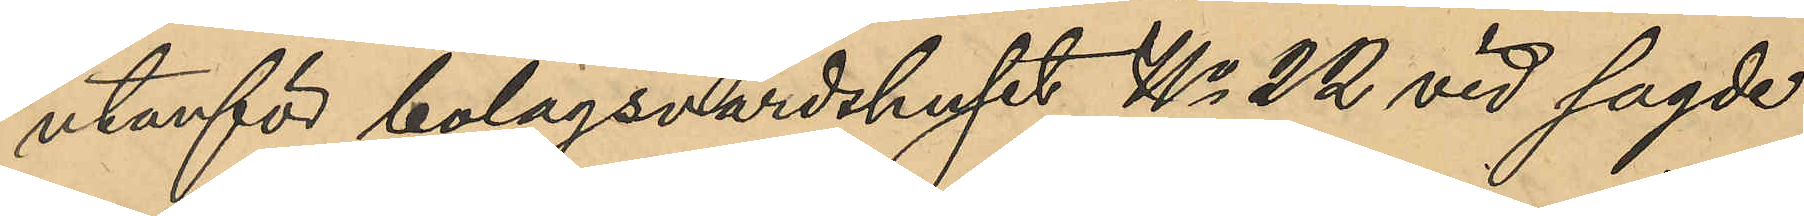utanför bolagsvärdshuset No 22 vid sagde
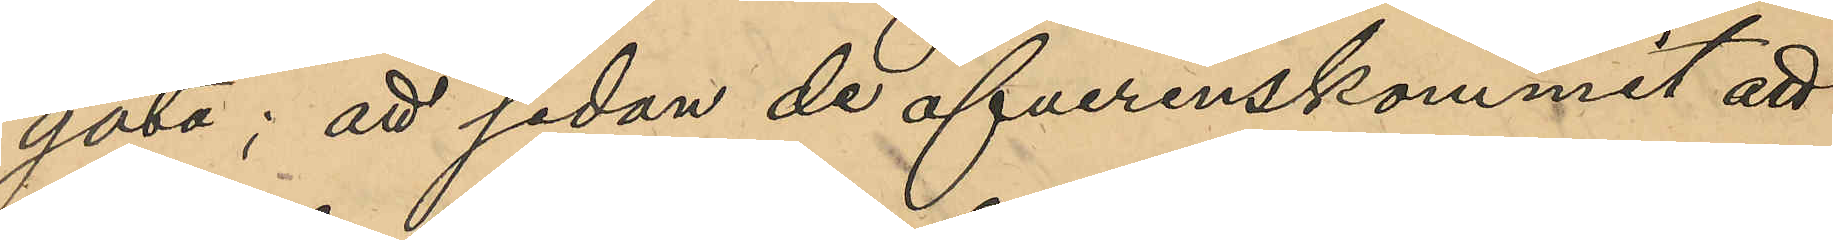gata; att sedan de öfverenskommit att
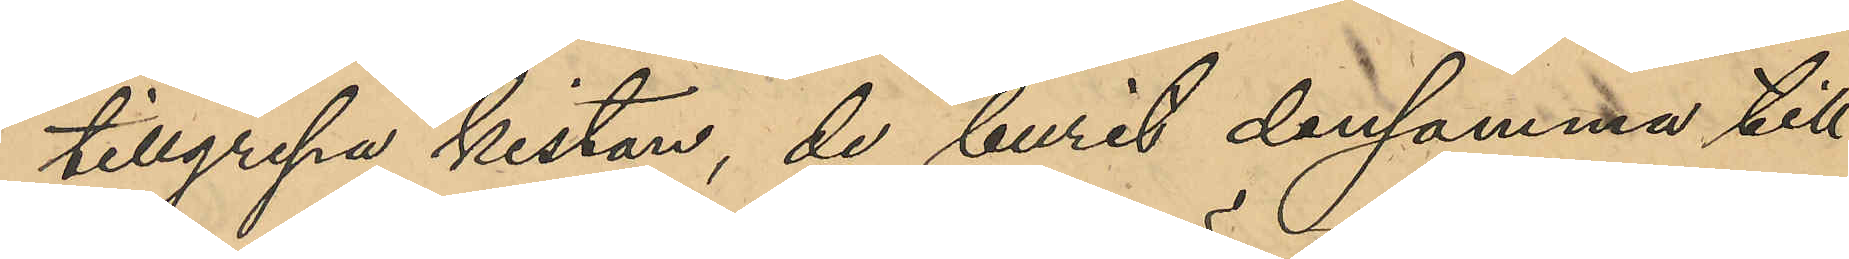tillgripa kistan, de burit densamma till
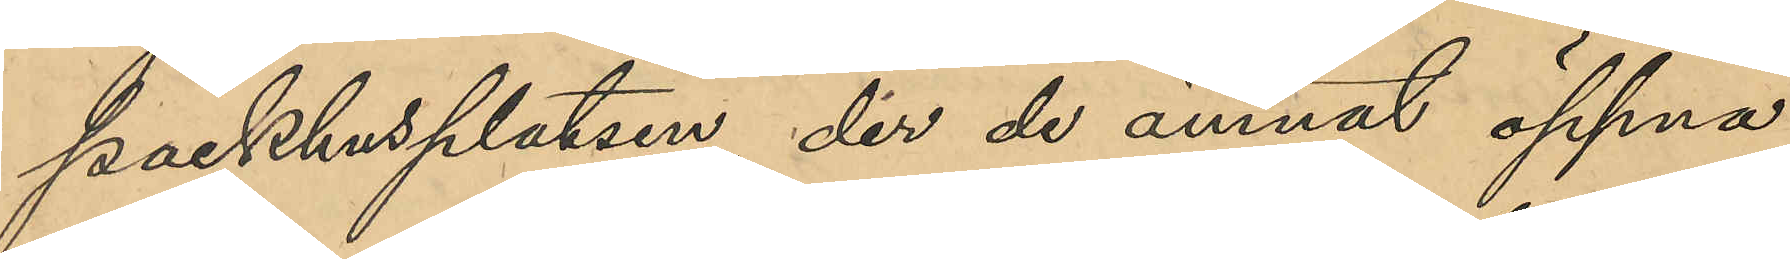Packhusplatsen, der de ämnat öppna
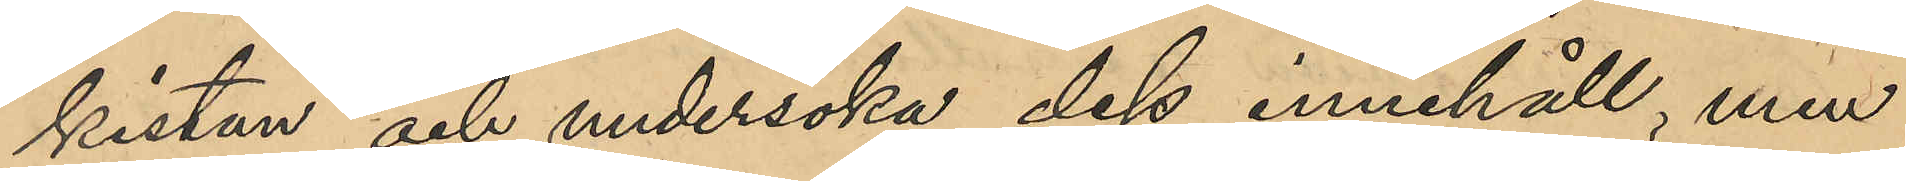kistan och undersöka dess innehåll, men
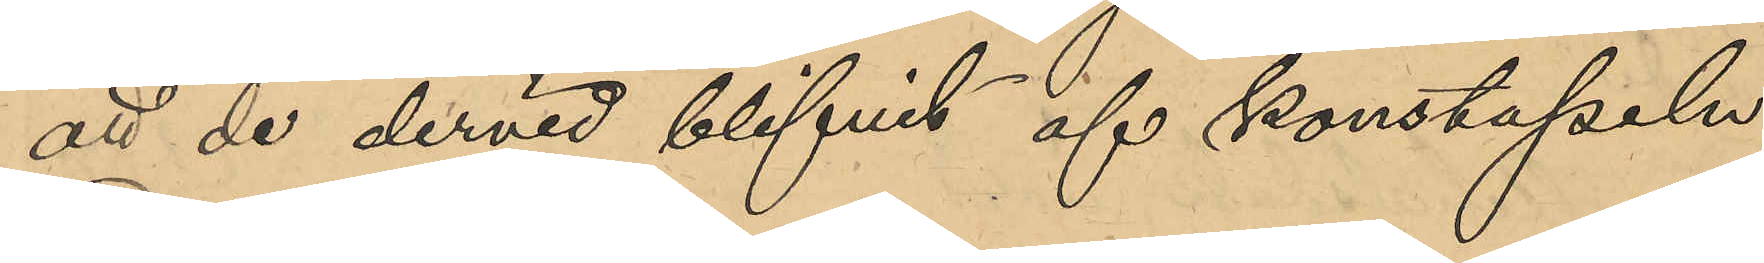att de dervid blifvit af konstapeln
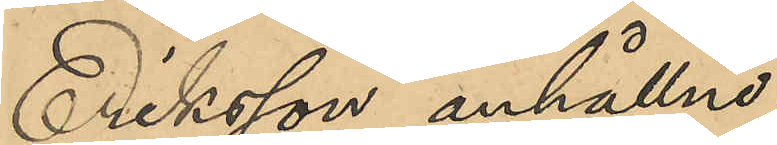Eriksson anhållne.
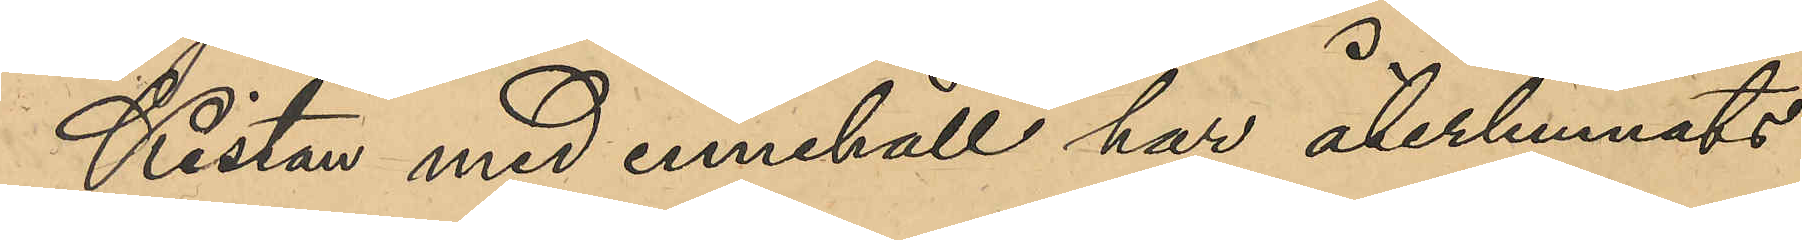Kistan med innehåll har återlemnats
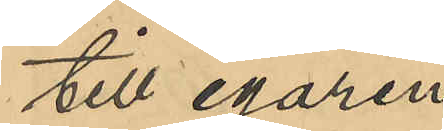till egaren.
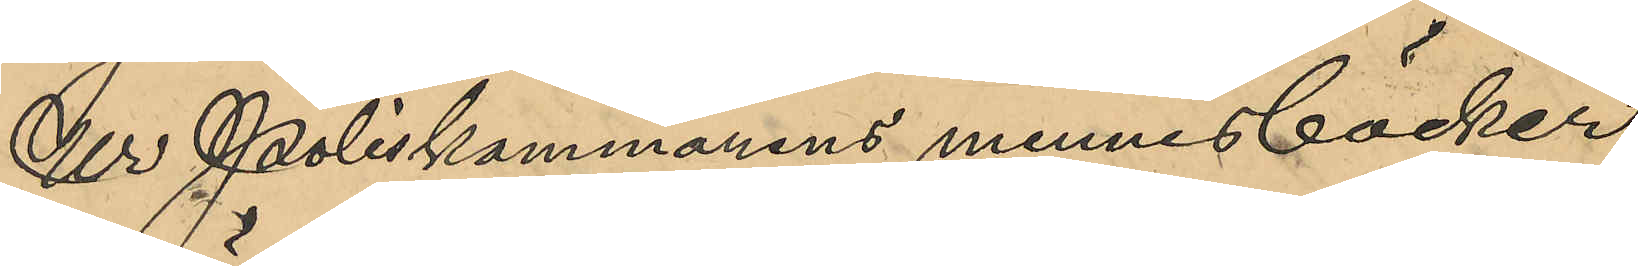Ur Poliskammarens minnesböcker
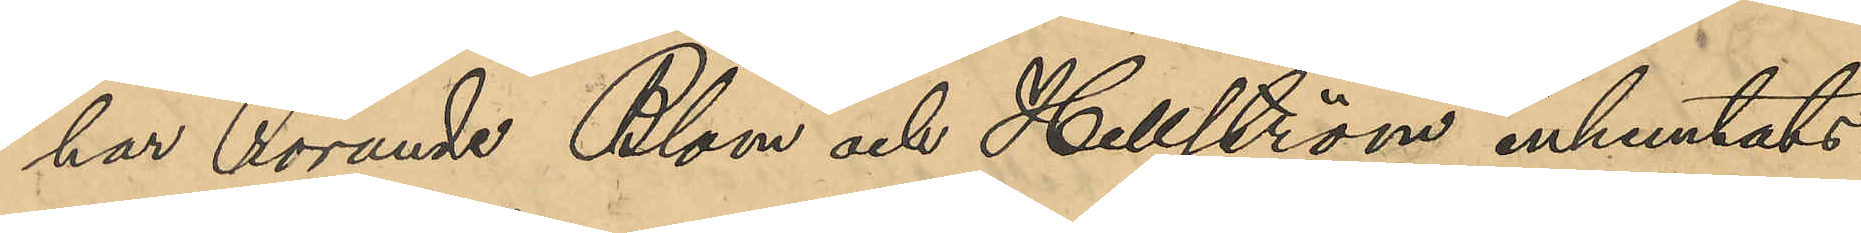har rörande Blom och Hellström inhemtats:
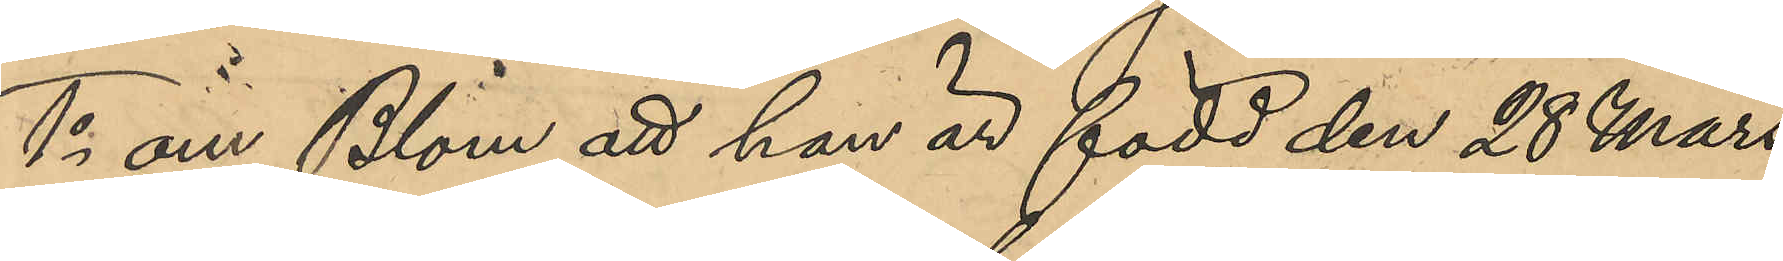1o om Blom att han är född den 28 Mars
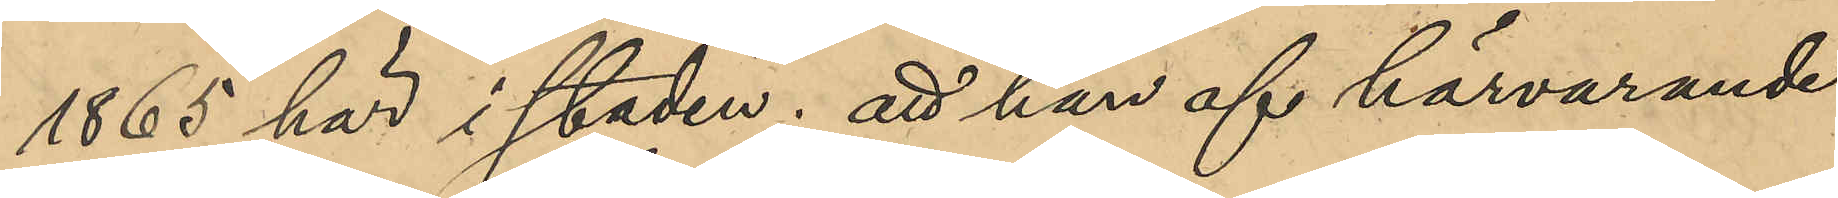1865 här i staden; att han af härvarande
